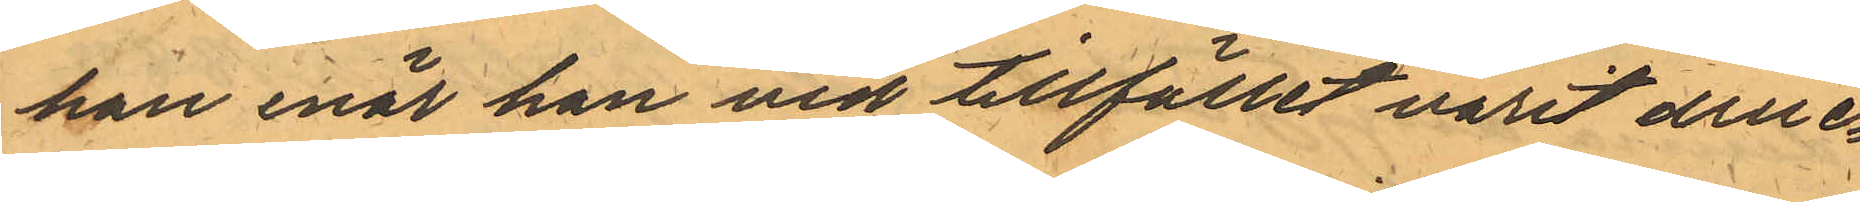han enär han vid tillfället varit druc¬
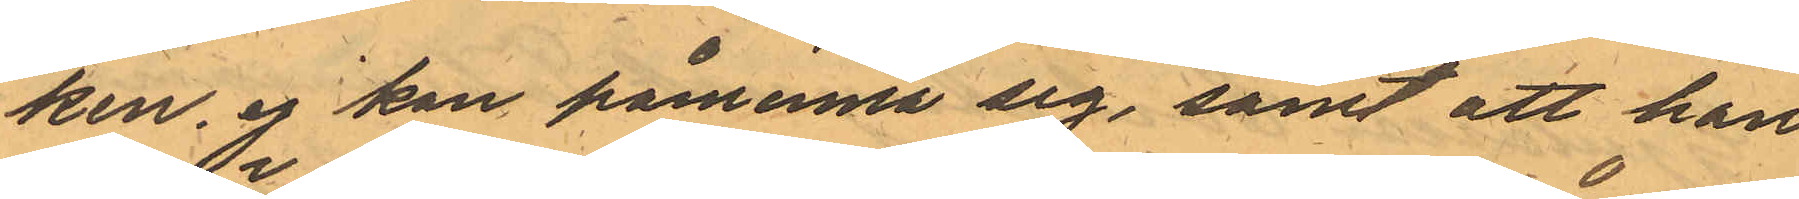ken, ej kan påminna sig, samt att han
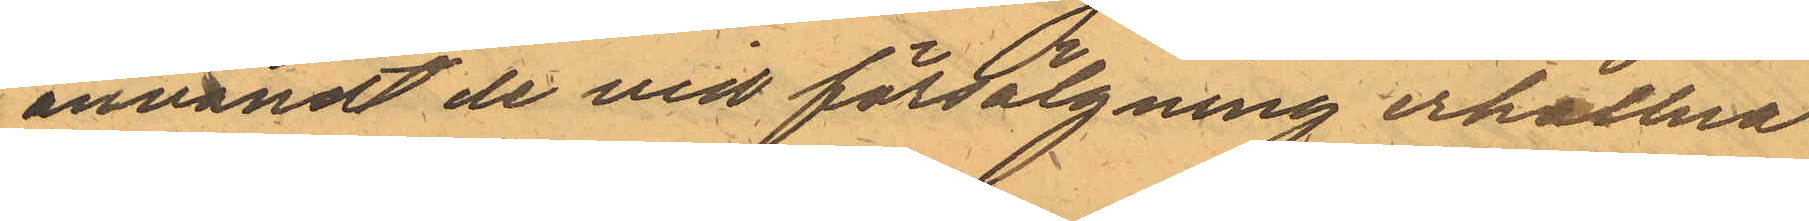användt de vid försälgning erhållna
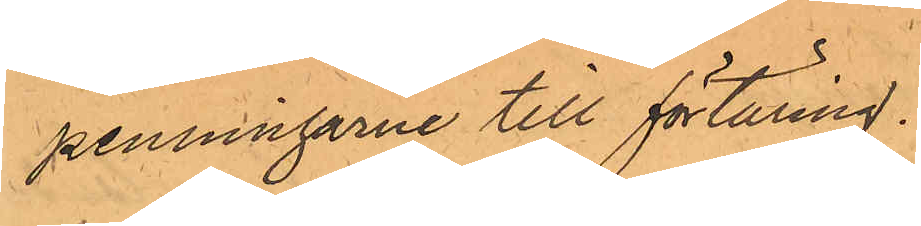penningarne till förtäring.
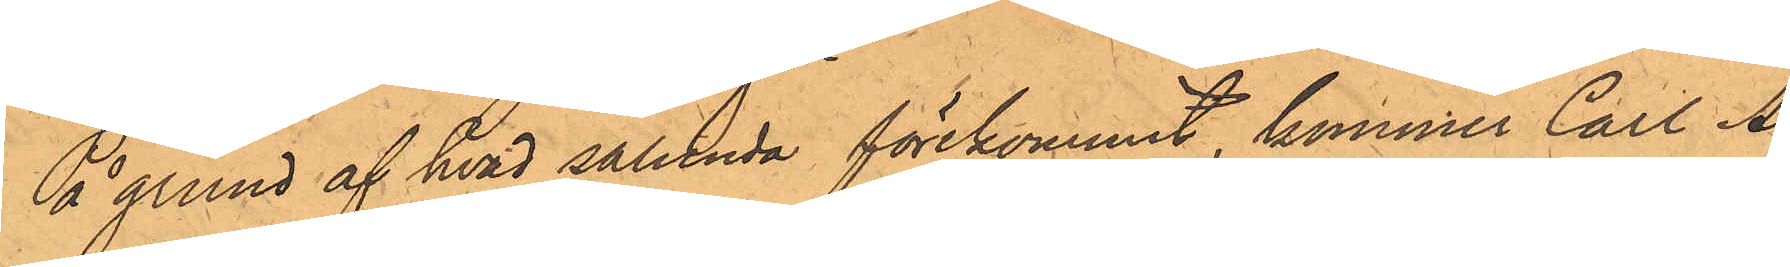På grund af hvad sålunda förekommit, kommer Carl Al¬
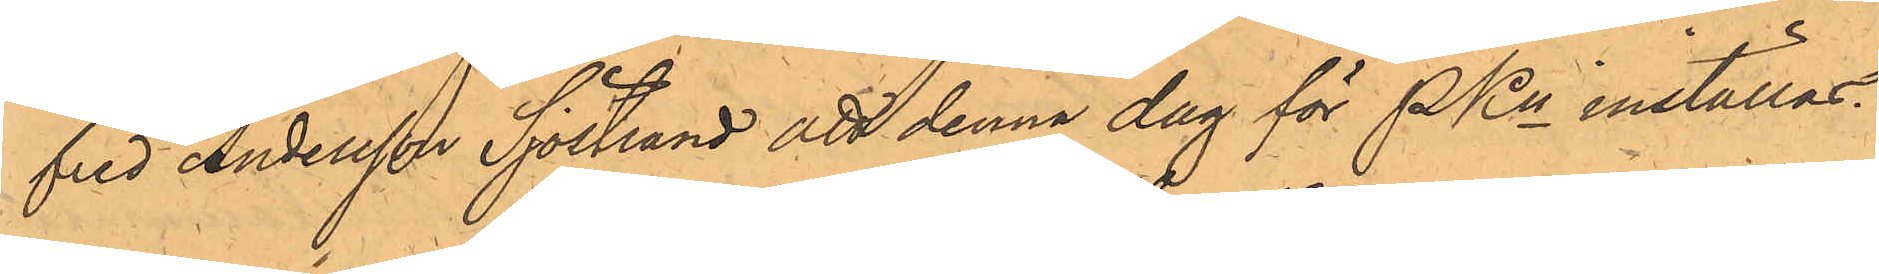fred Andersson Sjöstrand att denna dag för PKn inställas.
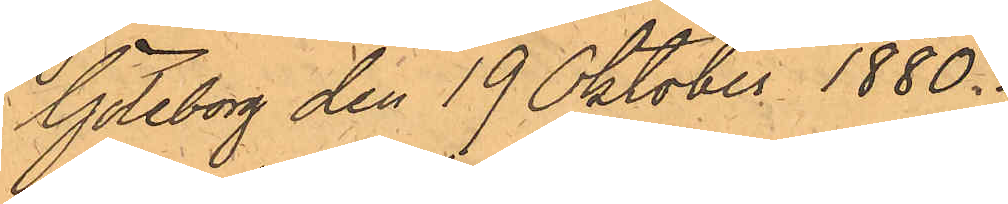Göteborg den 19 Oktober 1880.
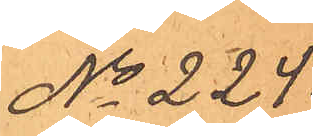No 224.
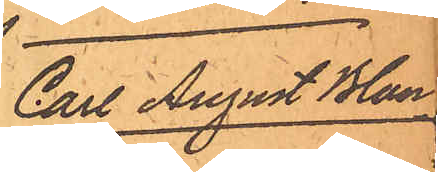Carl August Blan-
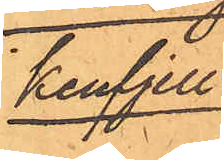kenfjell.
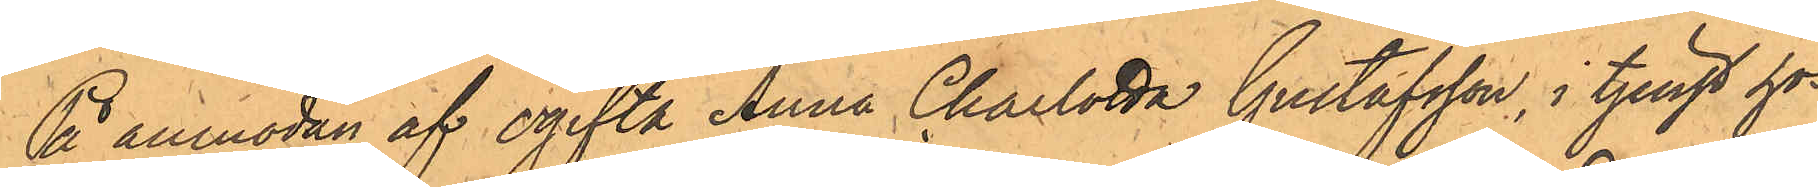På anmodan af ogifta Anna Charlotta Gustafsson, i tjenst hos
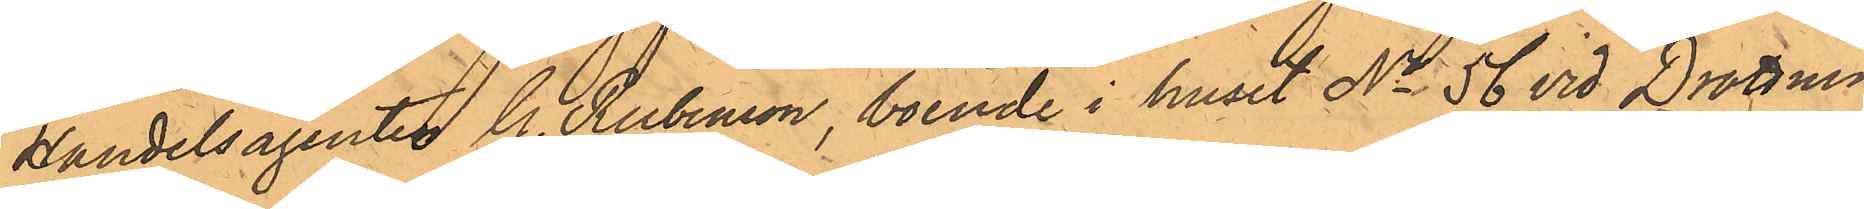Handelsagenten G. Rubenson, boende i huset No 56 vid Drottning¬
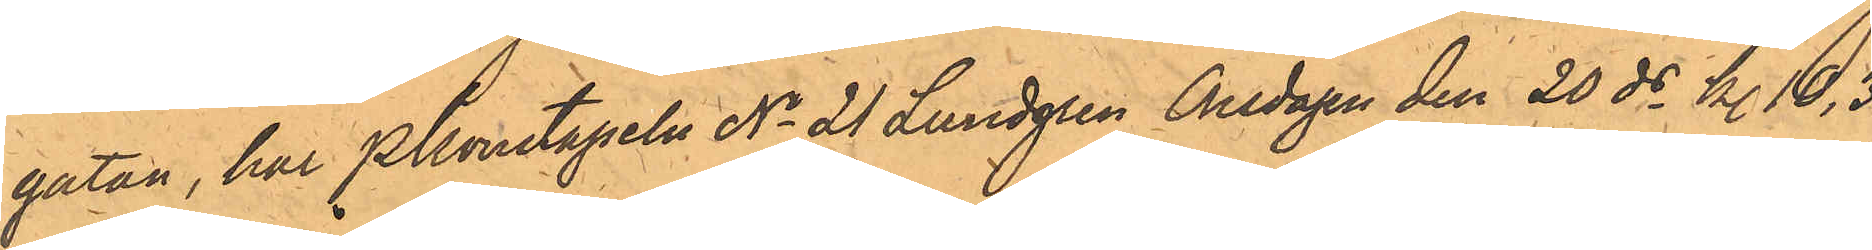gatan, har Pkonstapeln No 21 Lundgren Onsdagen den 20 ds kl. 10,30
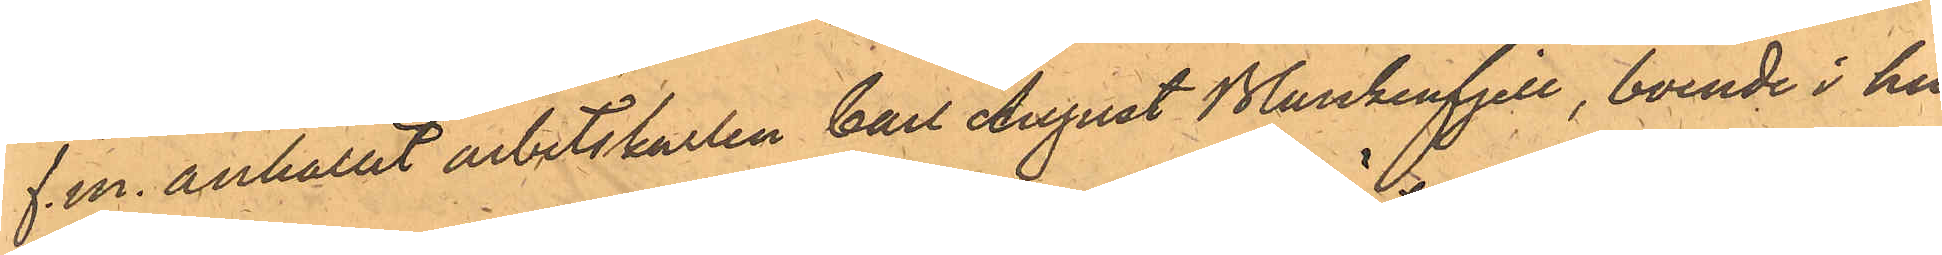f.m. anhållit arbetskarlen Carl August Blankenfjell, boende i hu¬
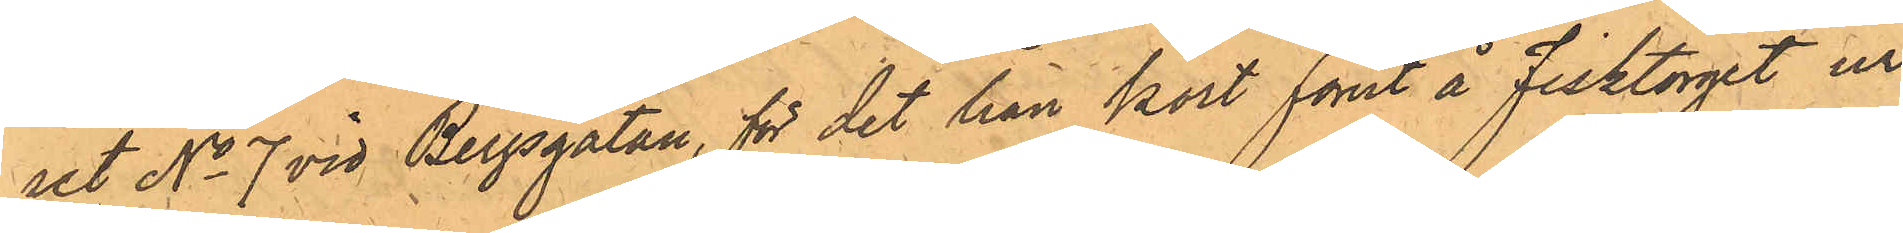set No 7 vid Bergsgatan, för det han kort förut å Fisktorget ur
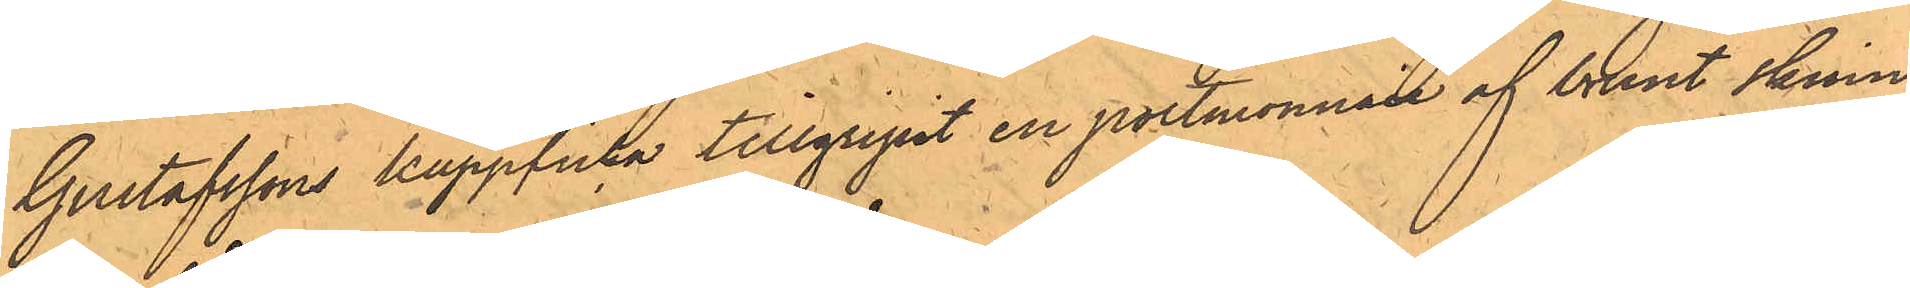Gustafssons kappficka tillgripit en portmonnaie af brunt skinn
